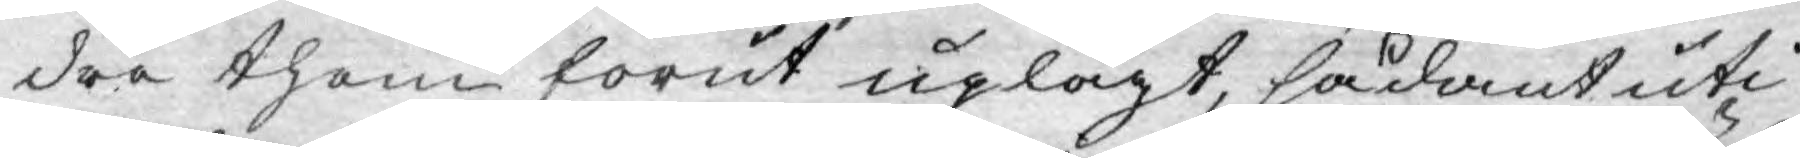dra them förut uplagt, sådant uti
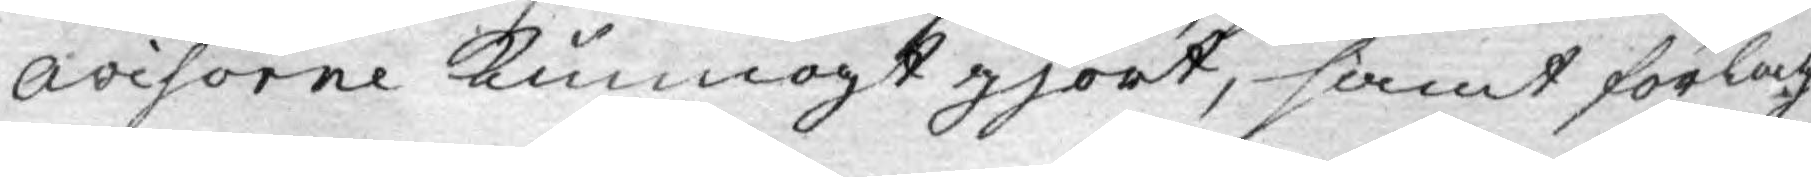avisorne kunnogt gjort, samt förlag
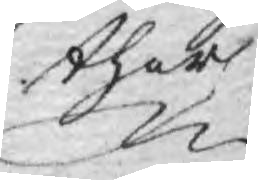ther
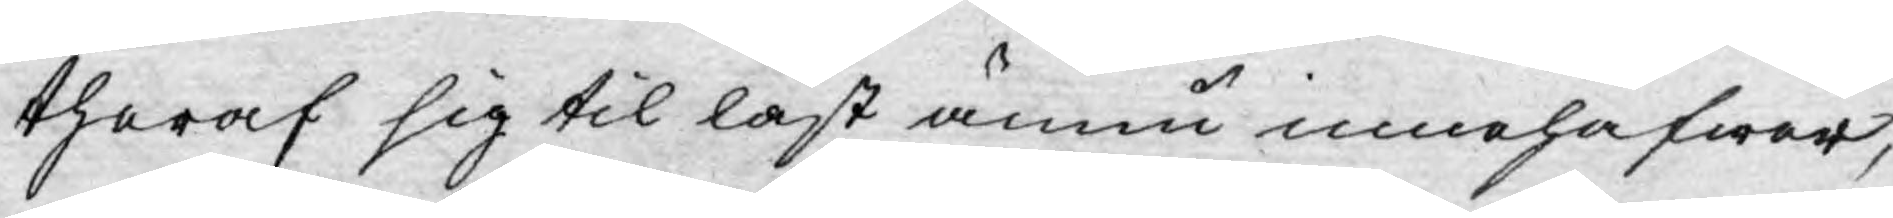theraf sig til last ännu innehafwer,
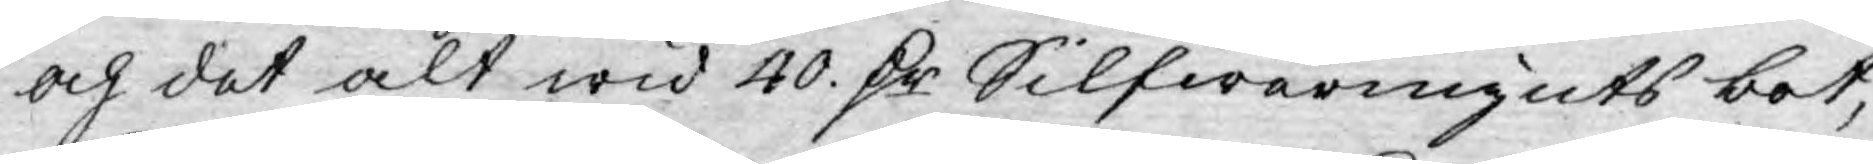och det alt wid 40. D:r Silfwermynts bot,
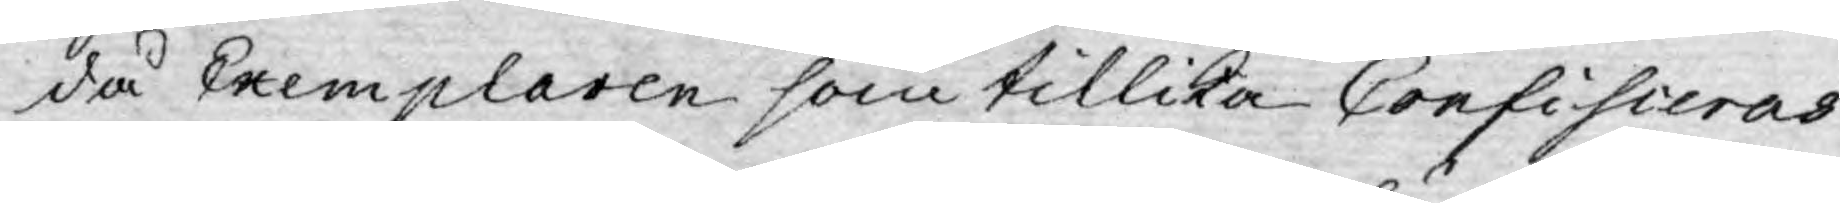då Exemplaren som tillika Confisieras
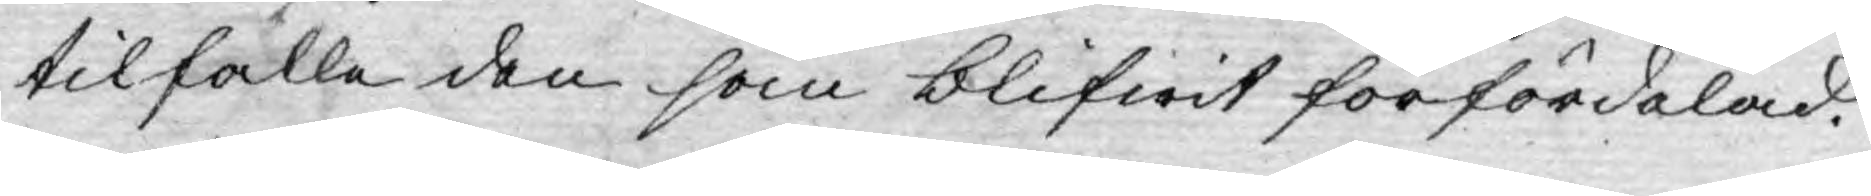tilfalle den som blifwit förfördelad.
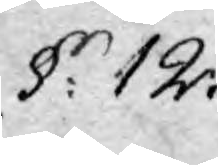§: 12.
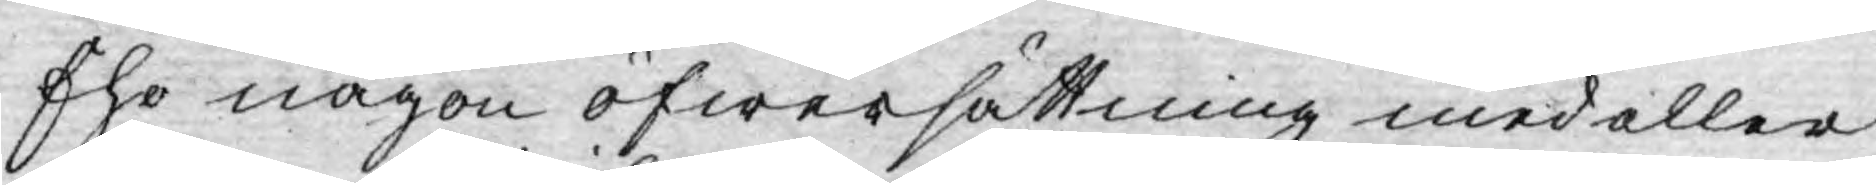Ehr någon öfwersättning med eller
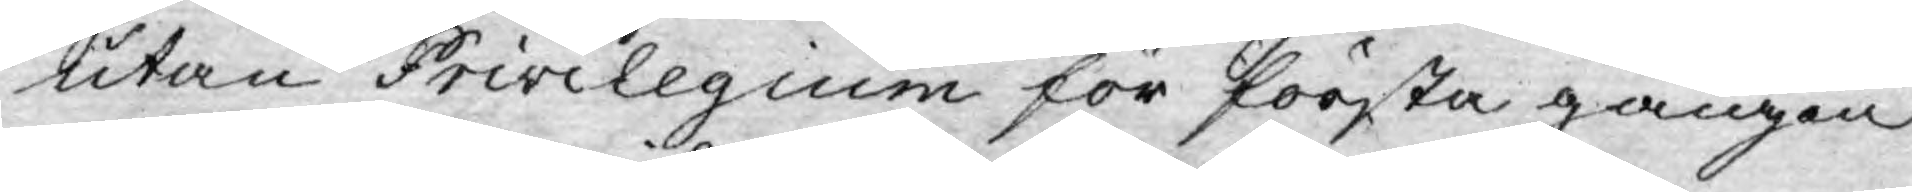utan Privilegium för första gången
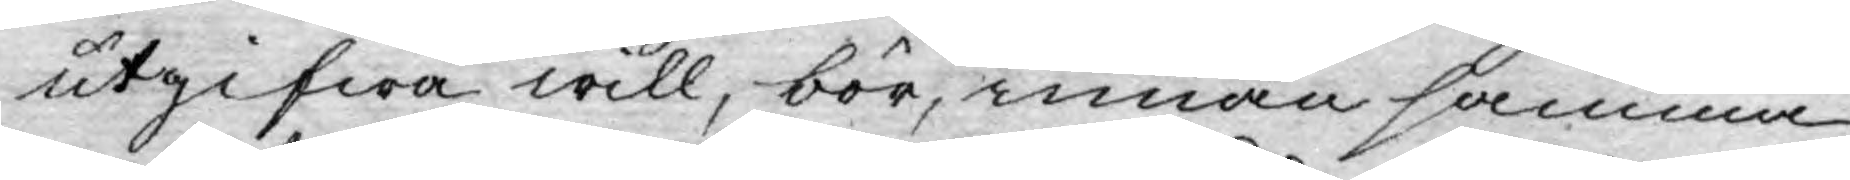utgifwa will, bör, innan samma
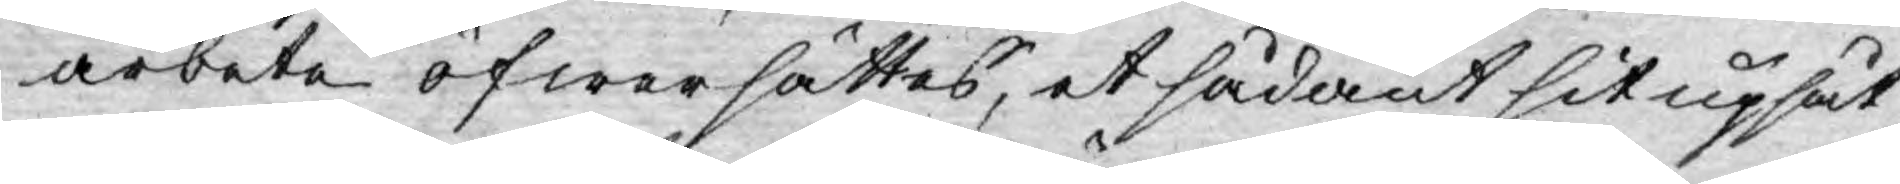arbete öfwersättes, et sådant sit upsåt
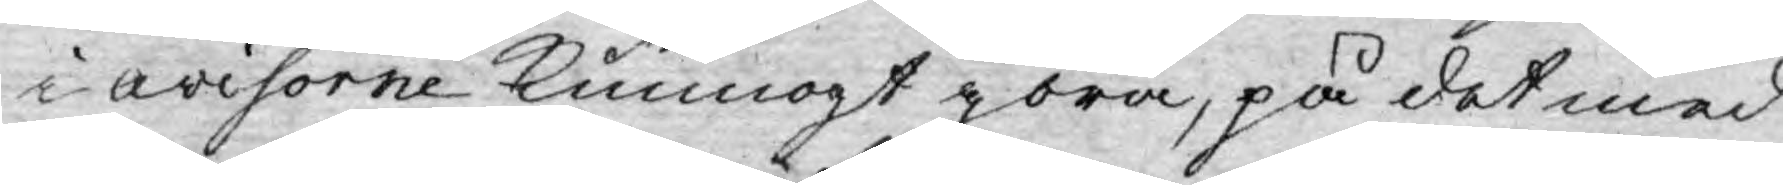i avisorne kunnogt göra, på det med
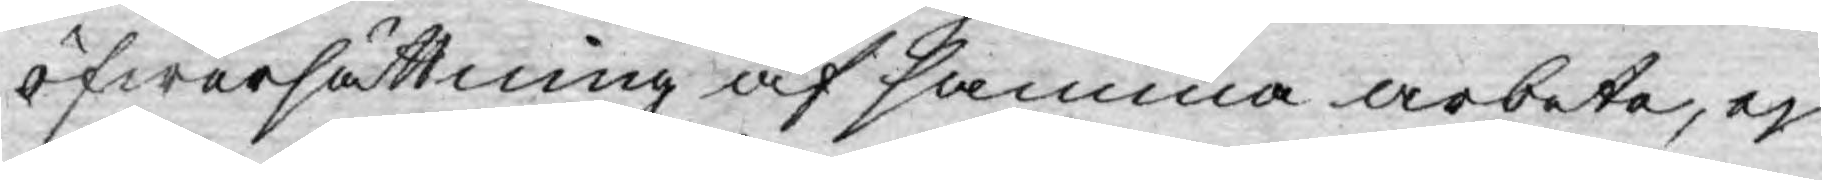öfwersättning af samma arbeta, ej
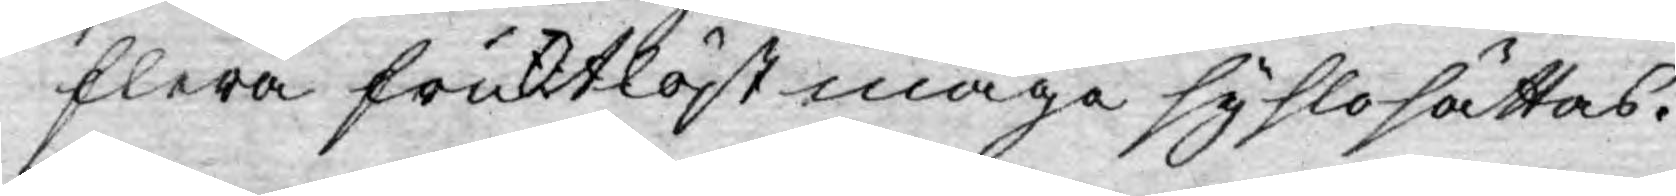flera fruktlöst måge syslosättas.
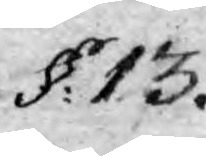§: 13.
